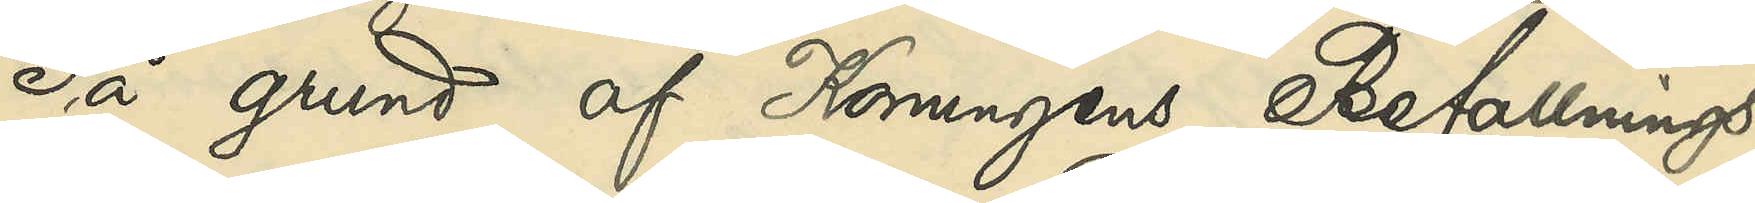På grund af Konungens Befallnings¬
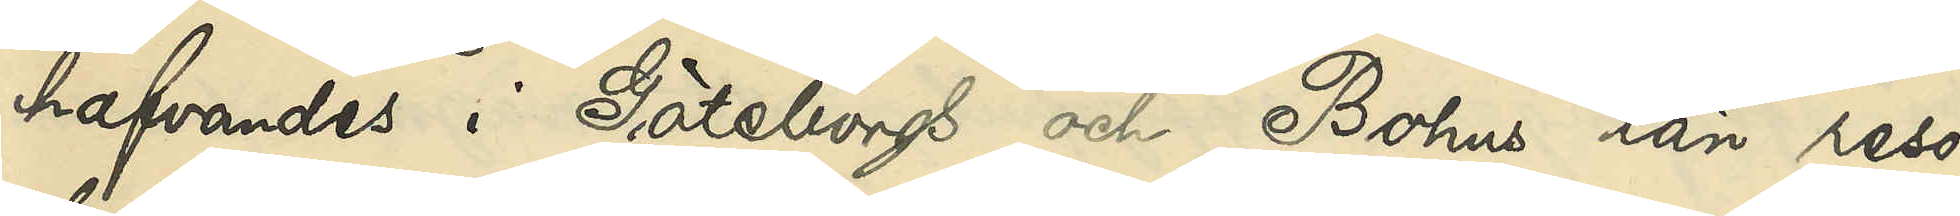hafvandes i Göteborgs och Bohus län reso¬
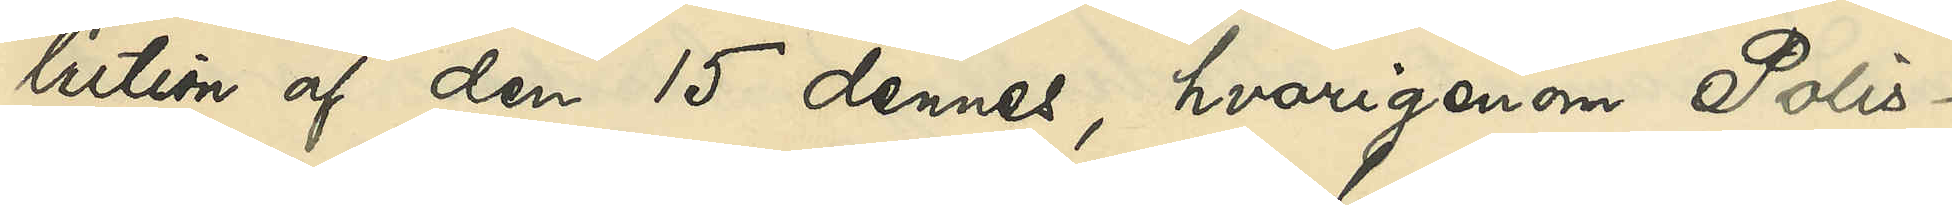lution af den 15 dennes, hvarigenom Polis¬
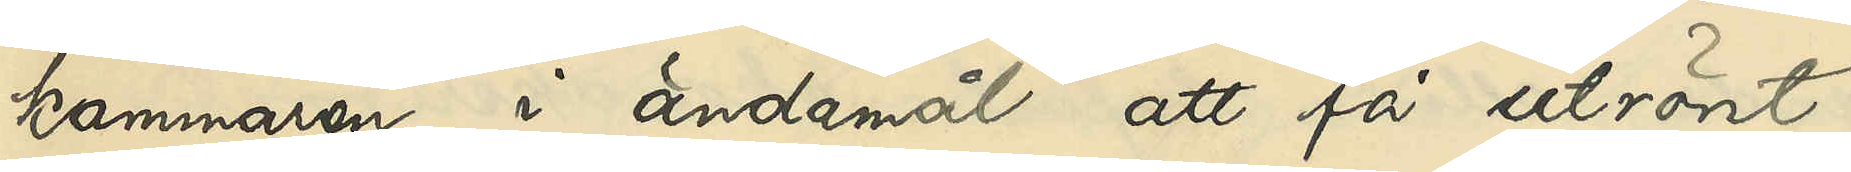kammaren, i ändamål att få utrönt,
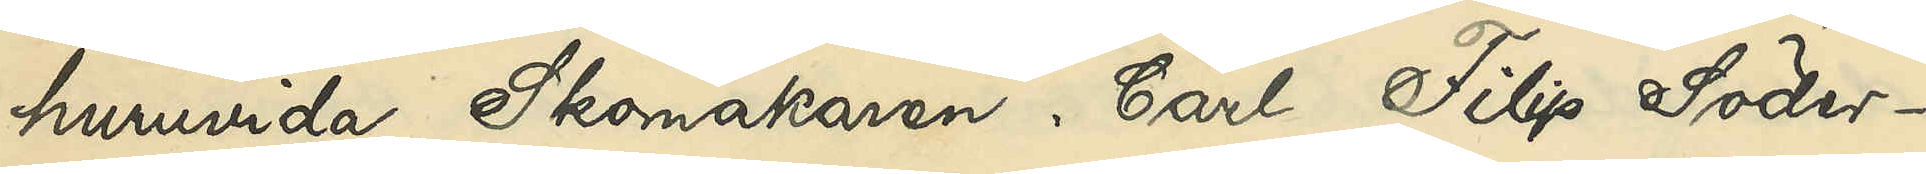huruvida Skomakaren Carl Filip Söder¬
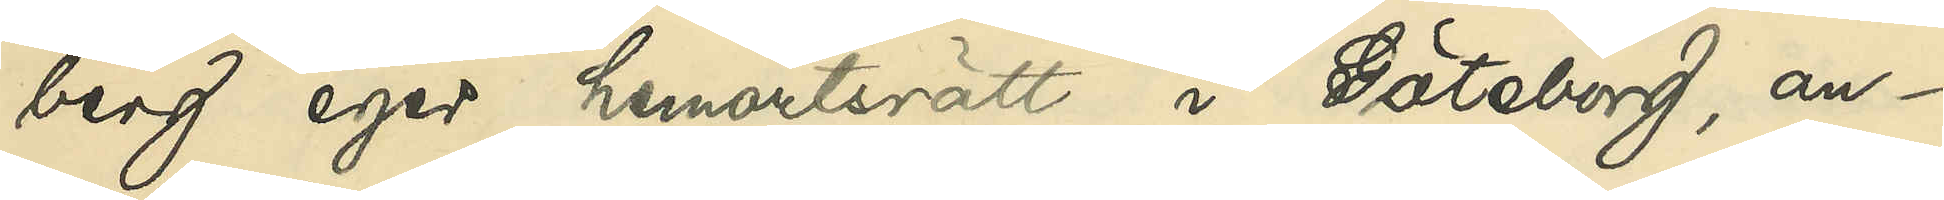berg eger hemortsrätt i Göteborg, an¬
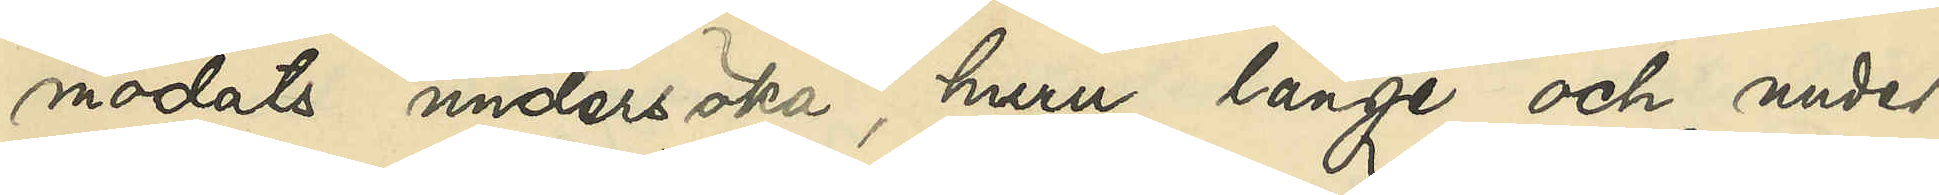modats undersöka, huru länge och under
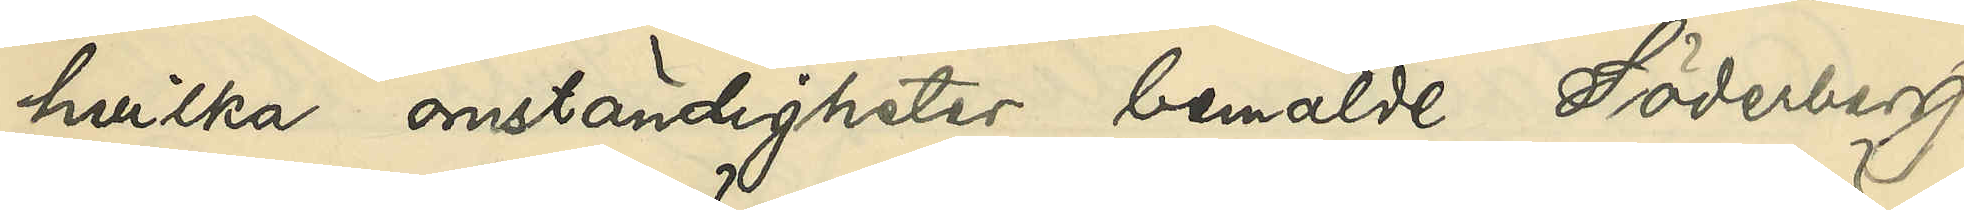hvilka omständigheter bemälde Söderberg
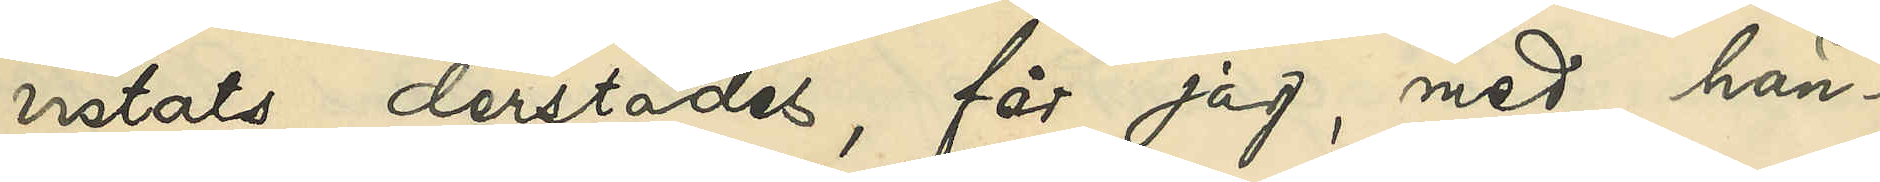vistats derstädes, får jag, med hän¬
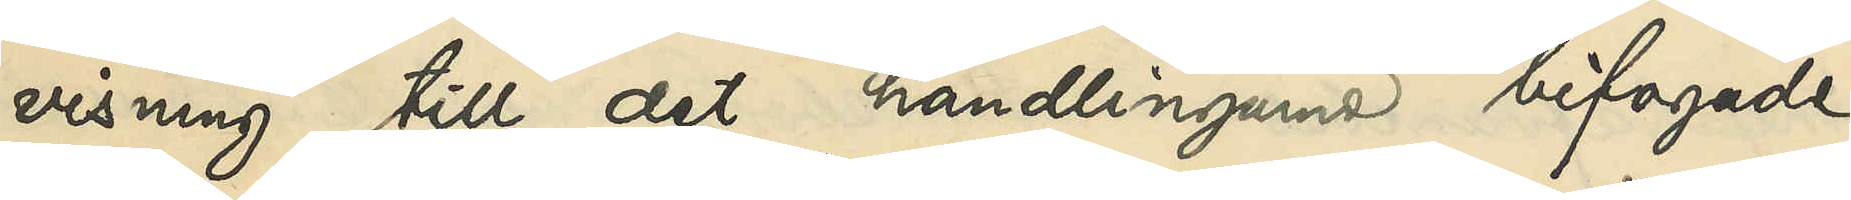visning till det handlingarne bifogade
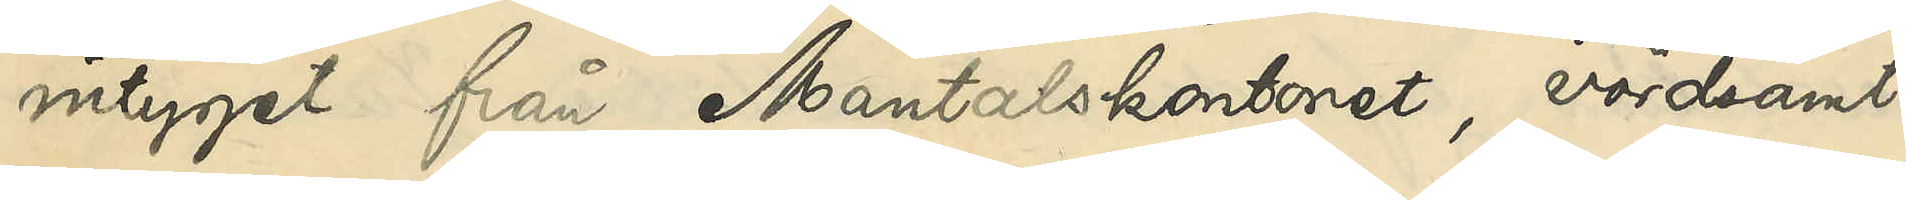intyget från Mantalskontoret, vördsamt
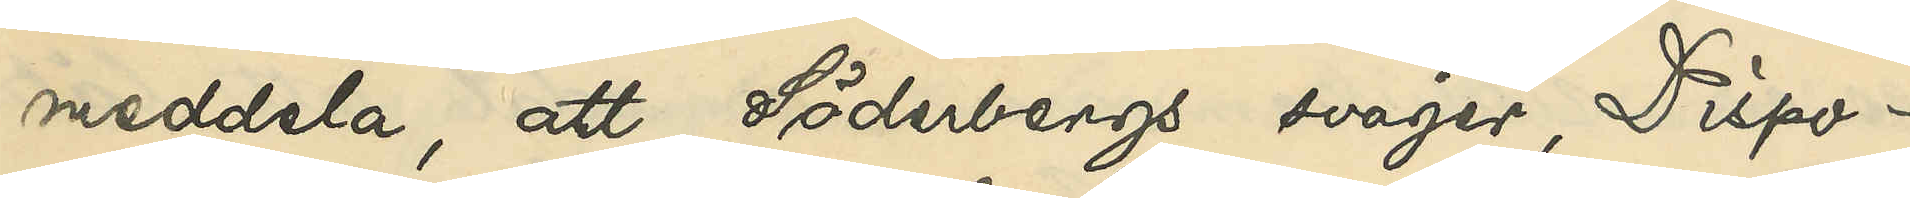meddela, att Söderbergs svåger, Dispo¬
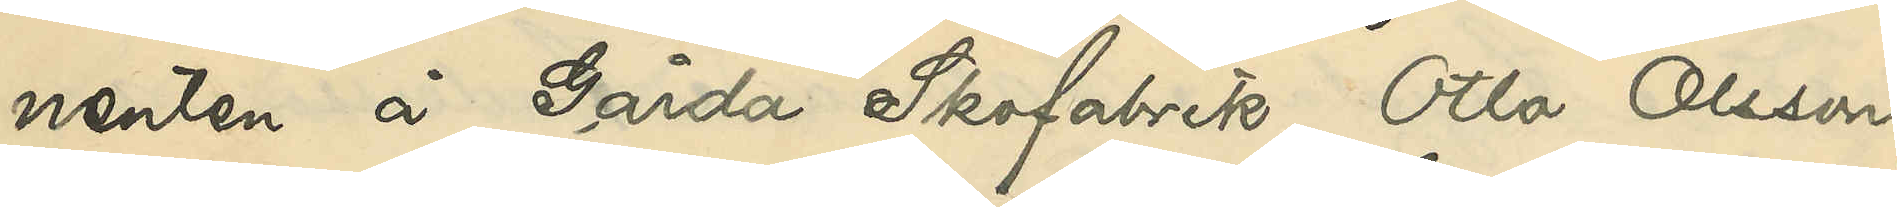nenten å Gårda Skofabrik Otto Olsson,
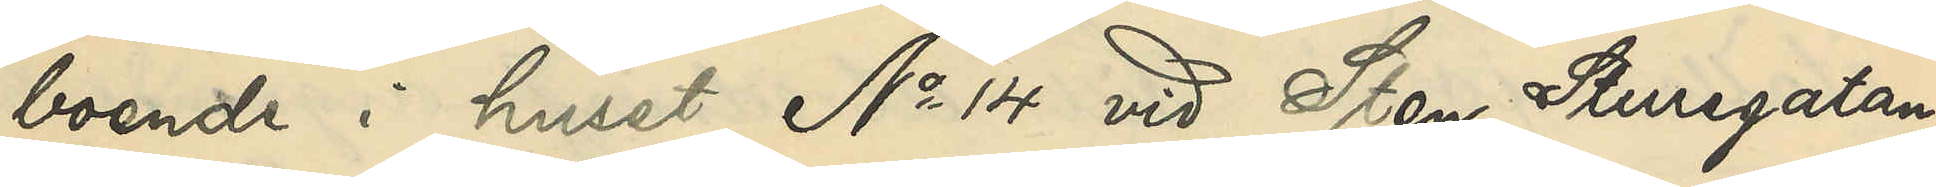boende i huset No 14 vid Sten Sturegatan,
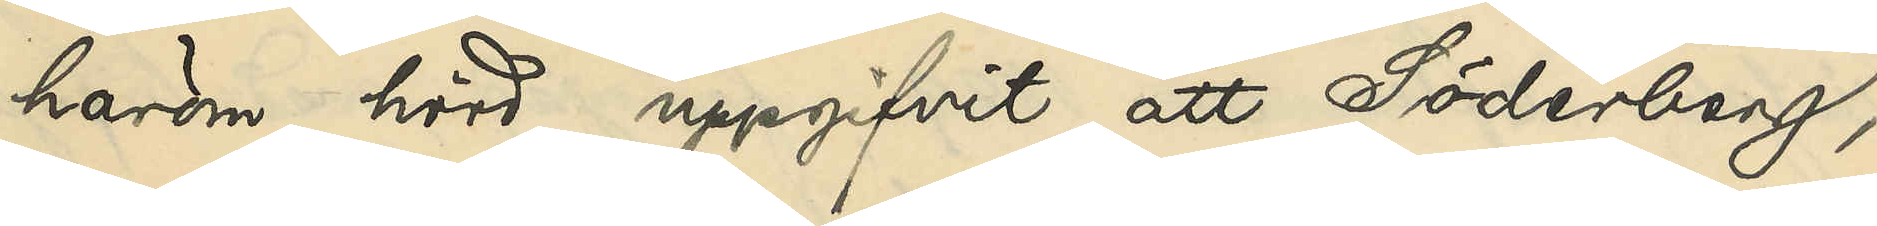härom hörd, uppgifvit, att Söderberg
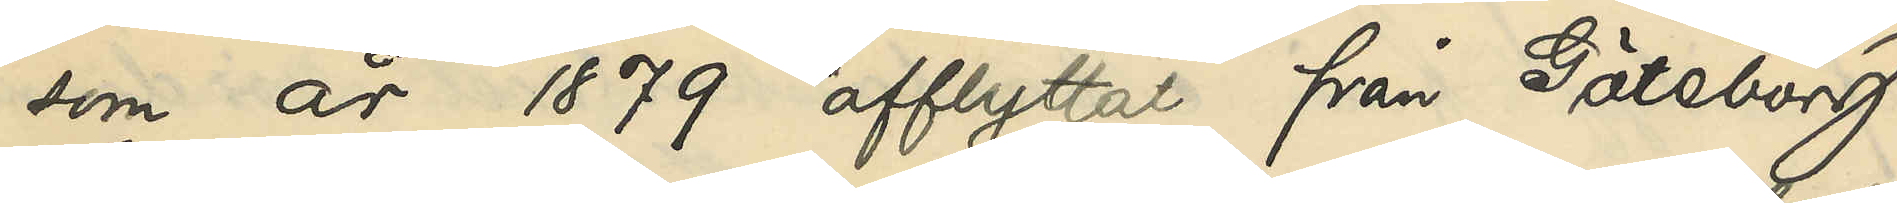som år 1879 afflyttat från Göteborg
